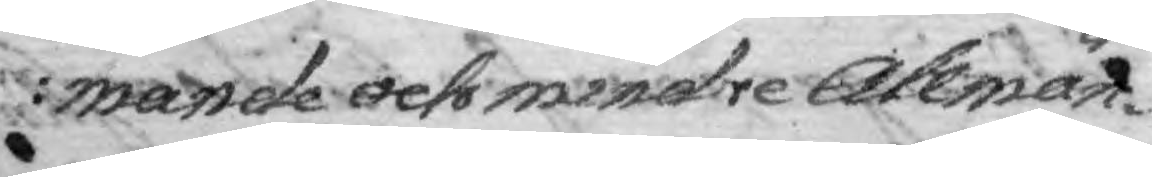mande och mindre Allmän¬
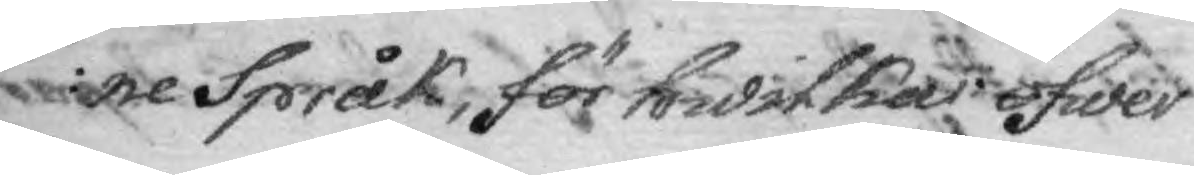ne Språk, för hwilkas öfwer¬
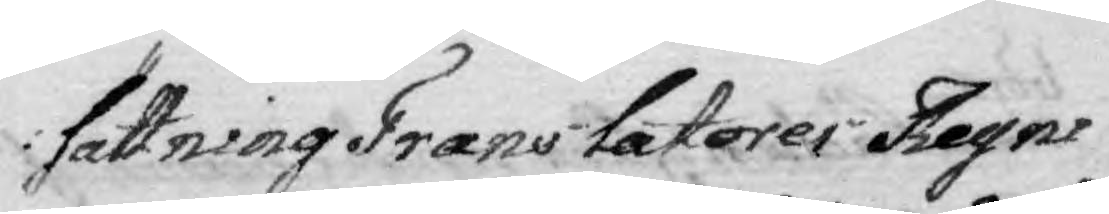sättning Translatores Regni
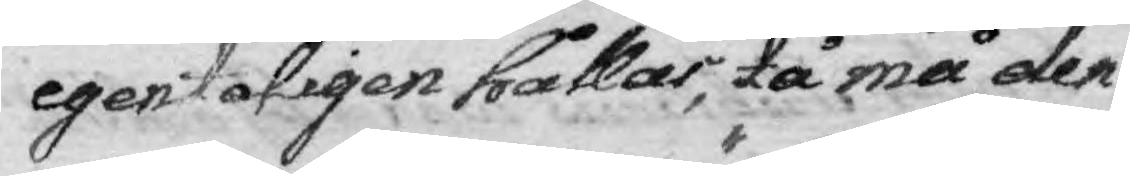egentligen hållas, tå må den
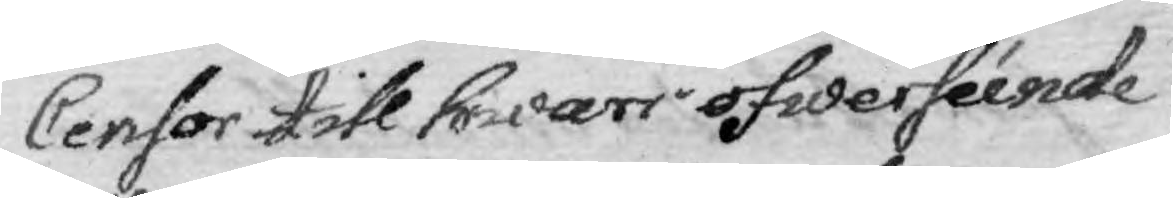Censor till hwars öfwerséende
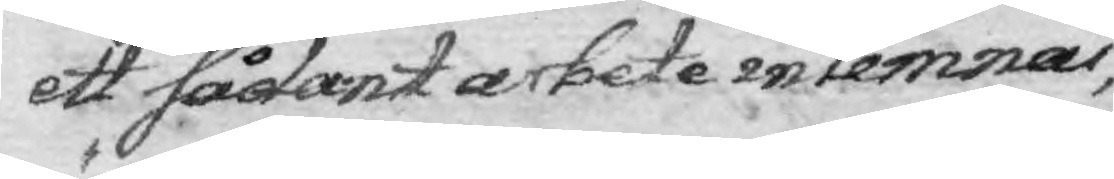ett sådant arbete inlemnas,
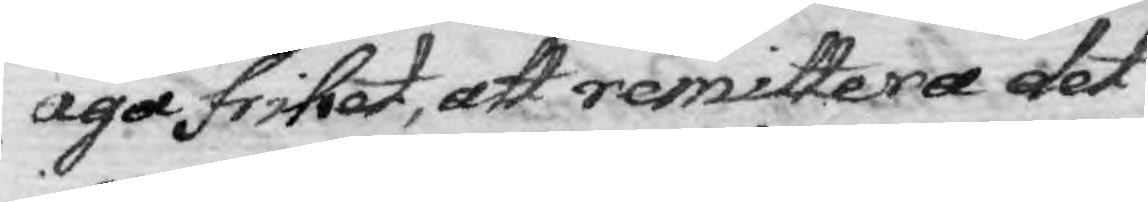äga frihet, att remittera det
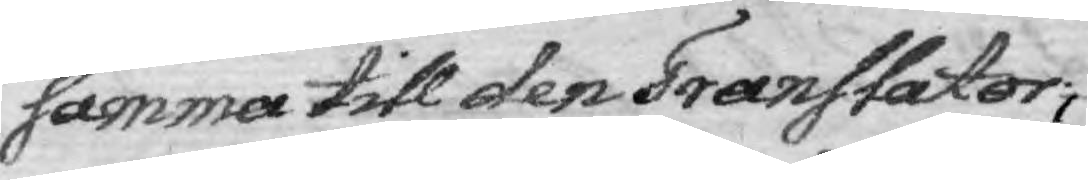samma till den Translator,
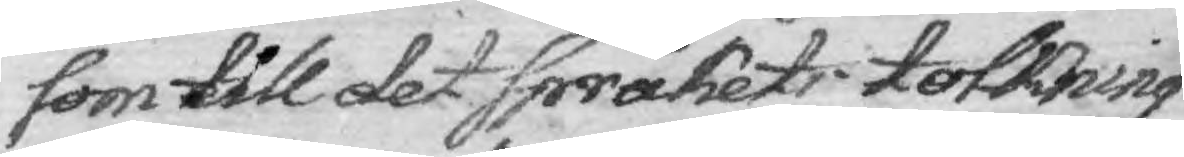som till det Språkets tolkning
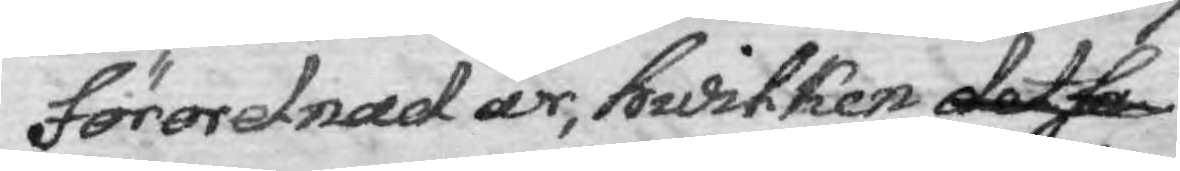förordnad är, hwliken det sa
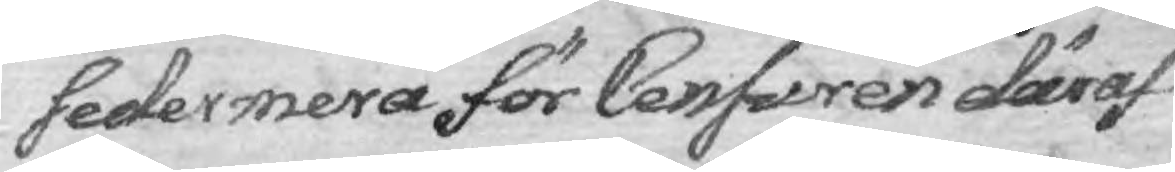sedermera för Censuren däraf
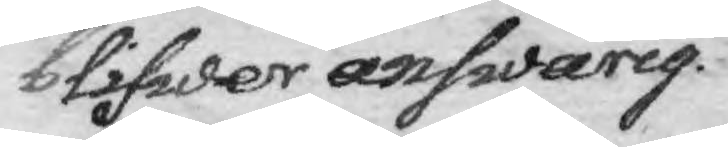blifwer answarig.
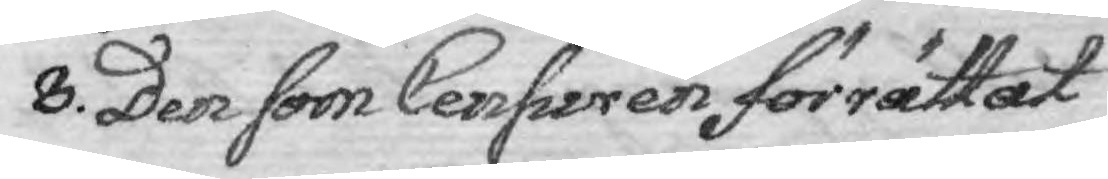8. Den som Censuren förrättat
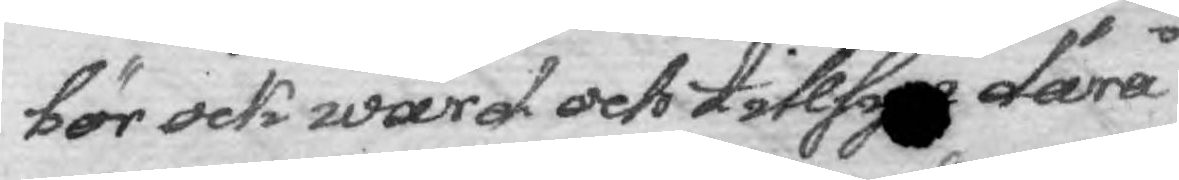bör ock wård och tillsyn därå
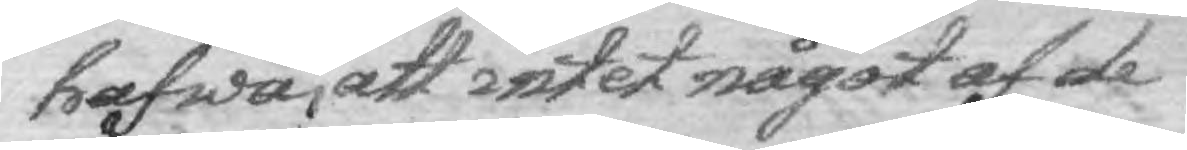hafwa, att intet något af de
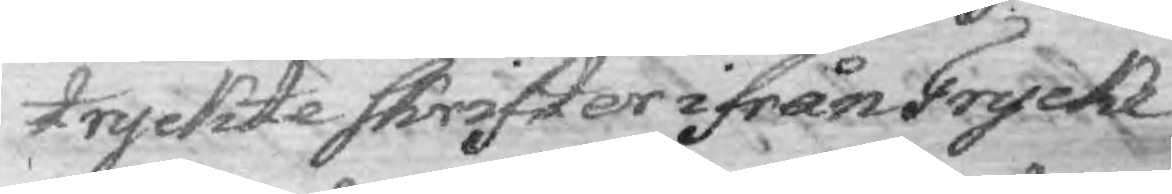tryckte Skrifter ifrån Trcycke¬
